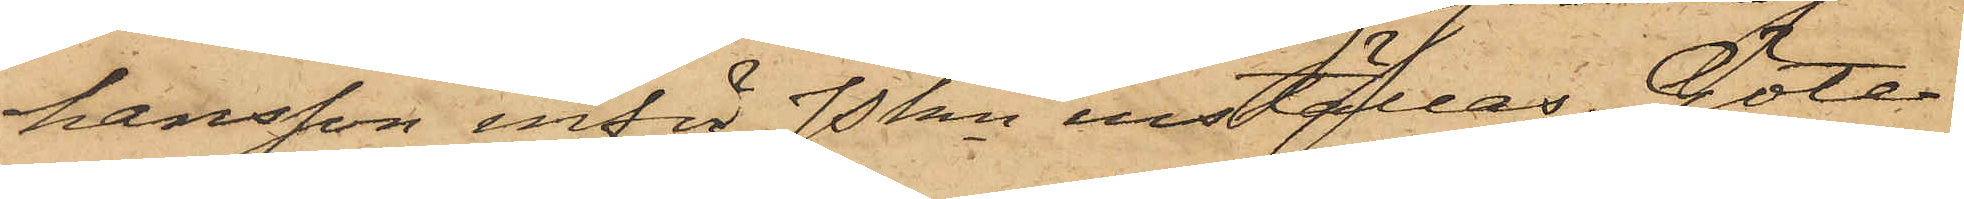hansson inför Pkn inställas. Göte¬
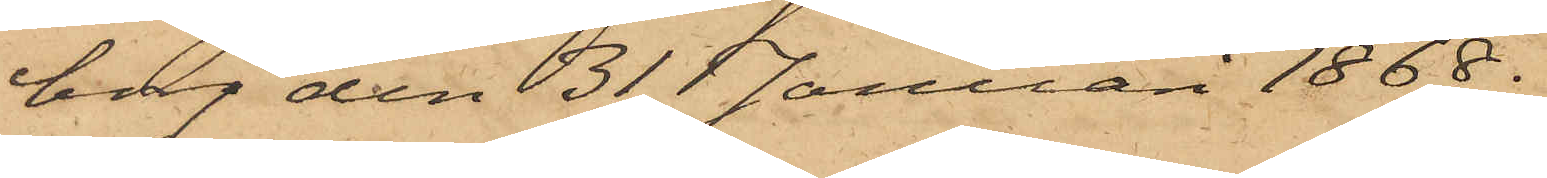borg den 31 Januari 1868.
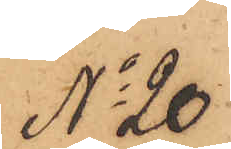No 20
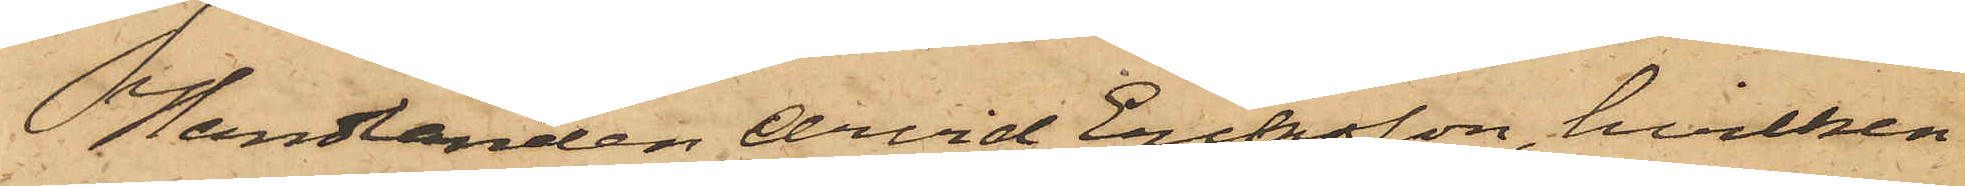Handlanden Arvid Eriksson, hvilken
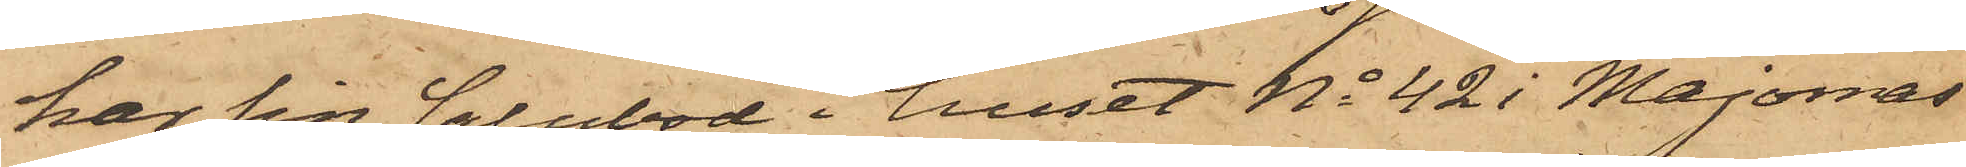har sin salubod i huset No 42 i Majornas
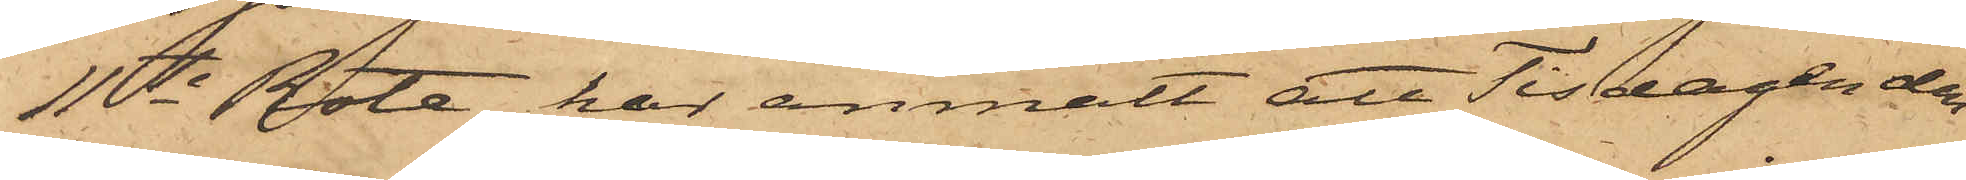11te Rote, har anmält att Tisdagen den
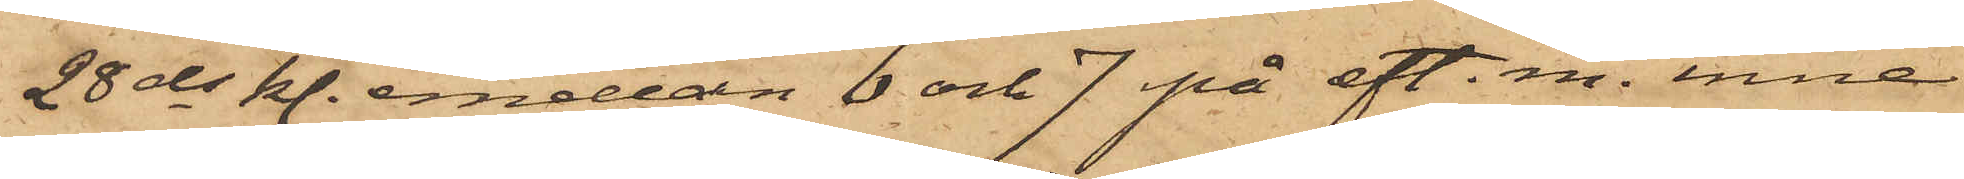28 ds kl. emellan 6 och 7 på eft. m. inne
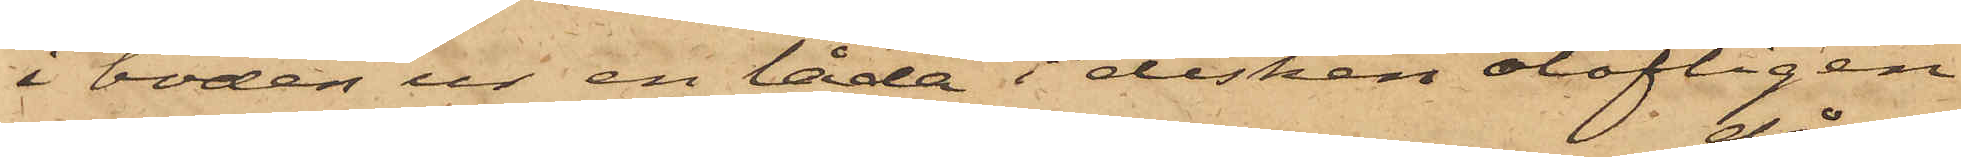i boden ur en låda i disken olofligen
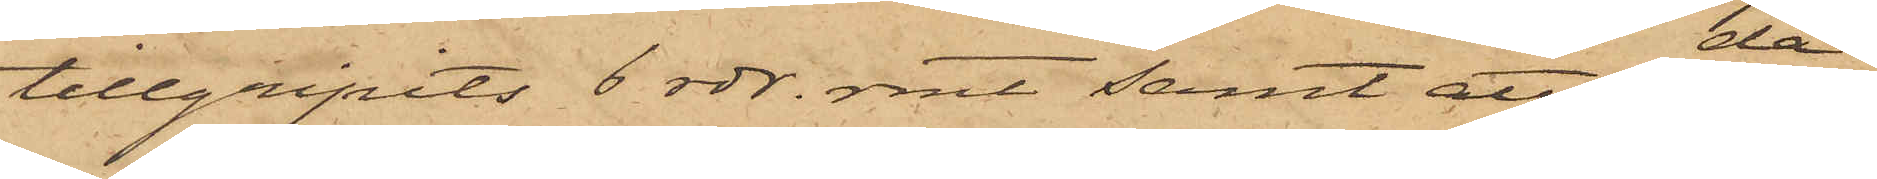tillgripits 6 rdr. rmt samt att, då
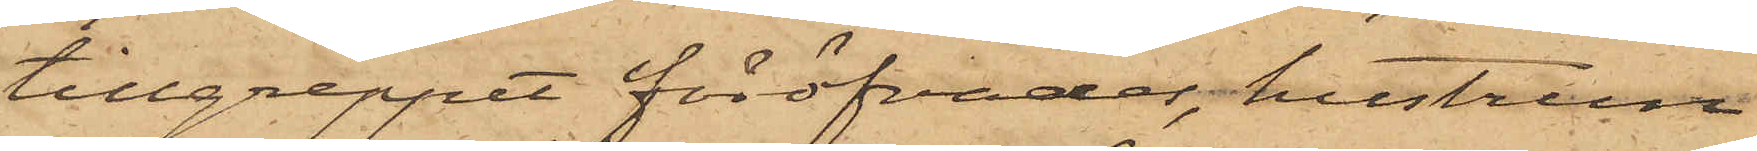tillgreppet föröfvades, hustrun
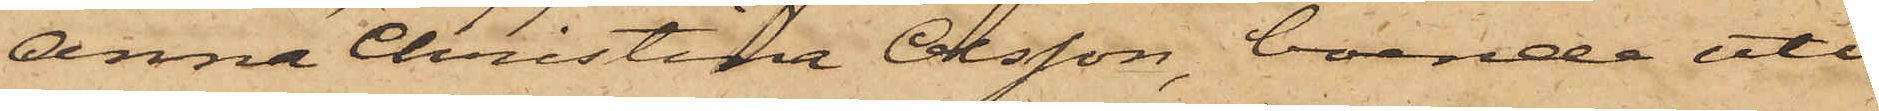Anna Christina Olsson, boende uti
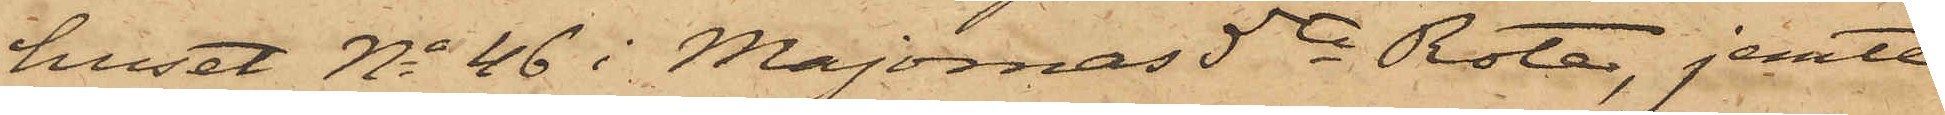huset No 46 i Majornas 5te Rote, jemte
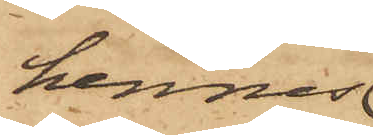hennes
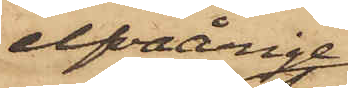elfvaårige
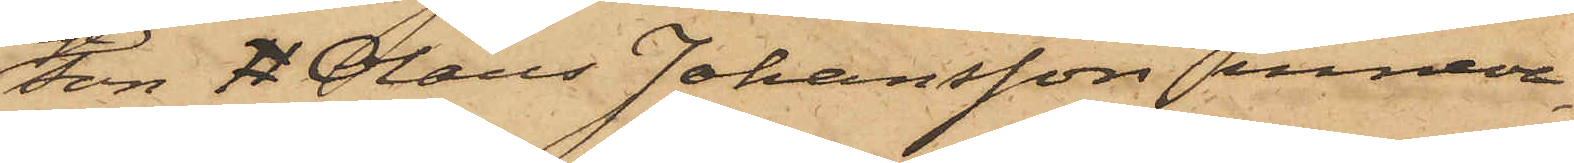son 11 Olaus Johansson inneva¬
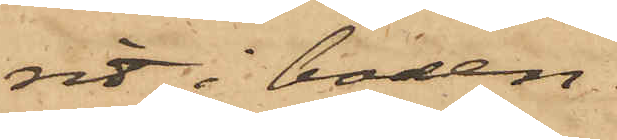rit i boden.
